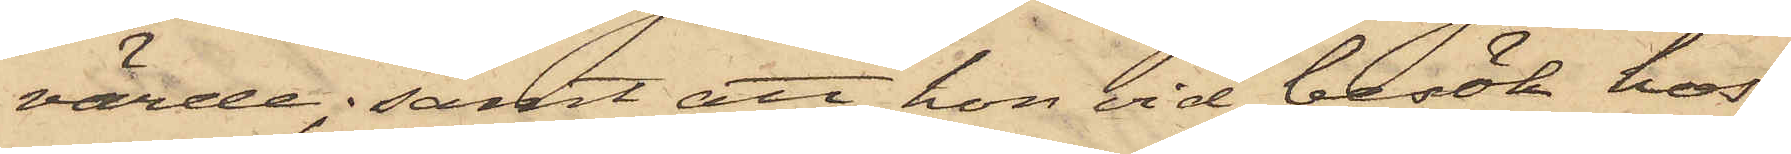värde; samt att hon vid besök hos
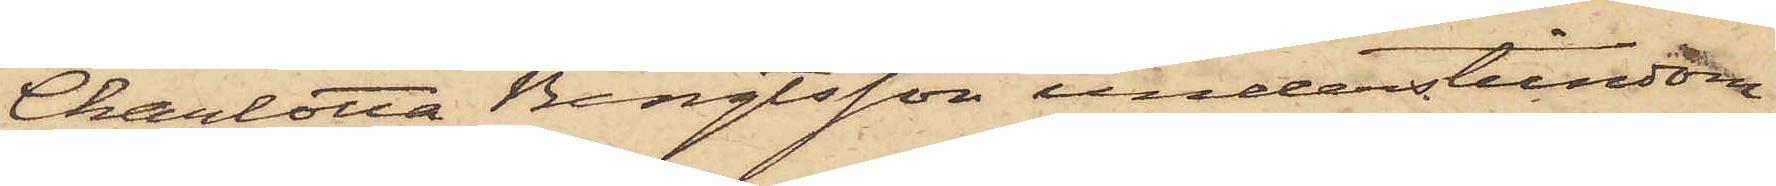Charlotta Bengtsson understundom
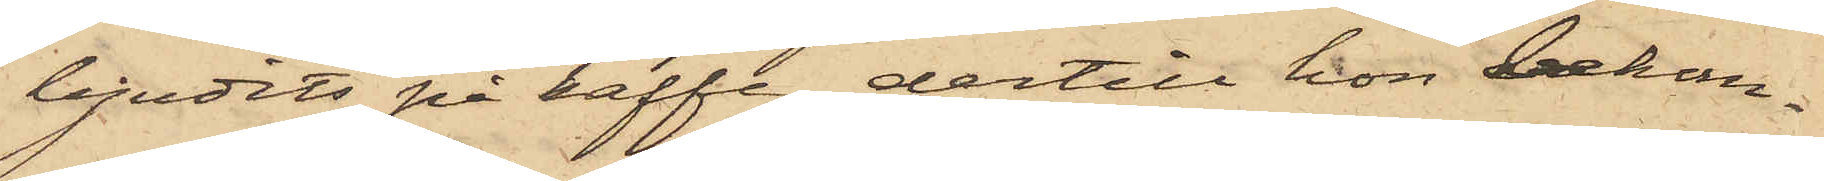bjudits på kaffe, dertill hon bekom¬
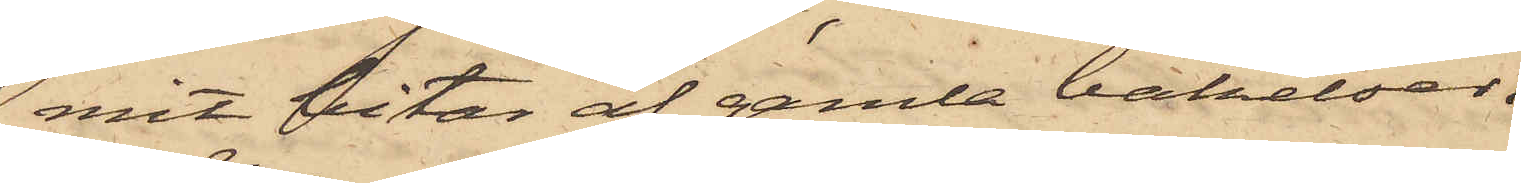mit bitar af gamla bakelser.
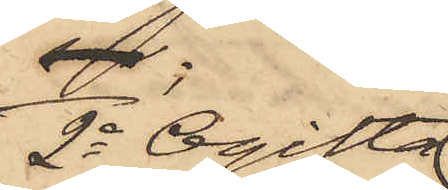2o Ogifta
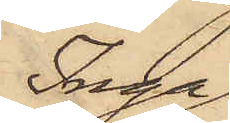Inga
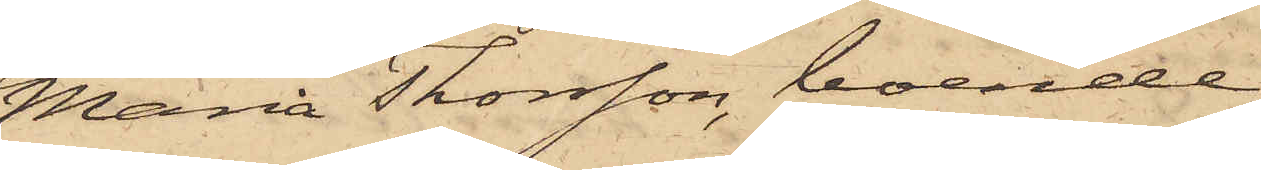Maria Thorsson, boende
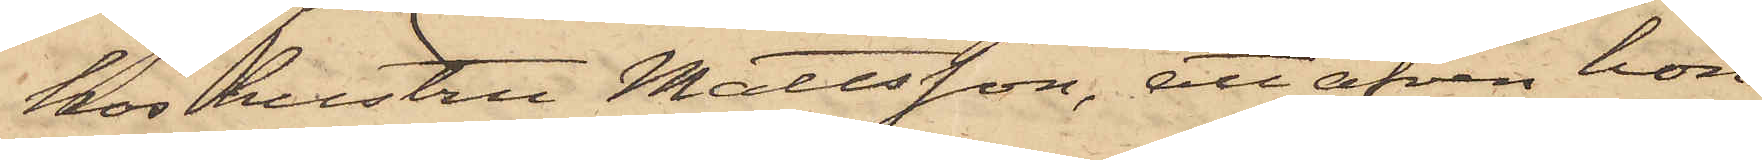hos hustru Mattsson, att äfven hon
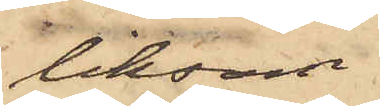liksom
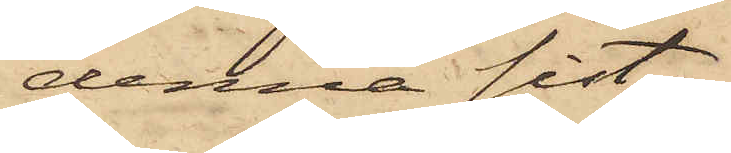denna sist¬
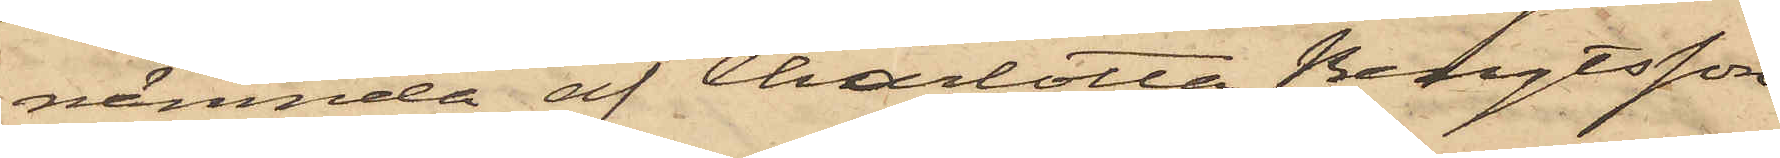nämnde af Charlotta Bengtsson
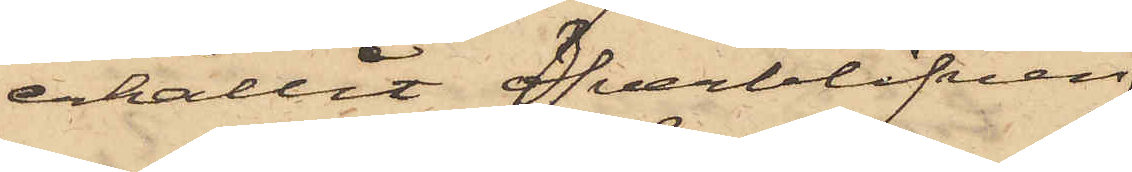erhållit öfverblifven
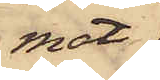mat
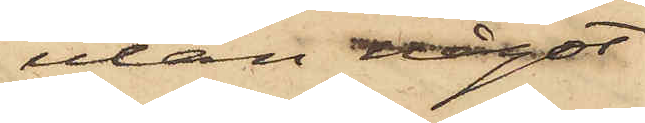utan något
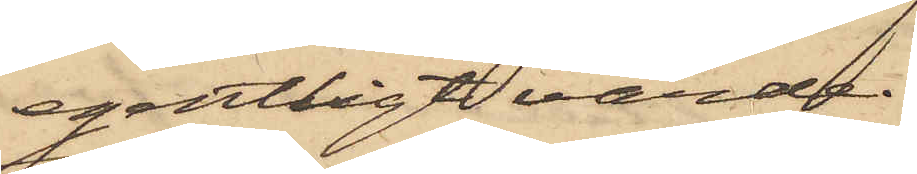egentligt värde.
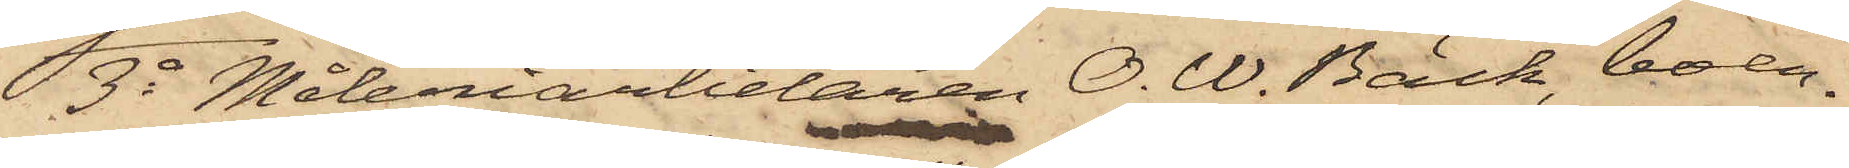3o Måleriarbetaren O. W. Bäck, boen¬
